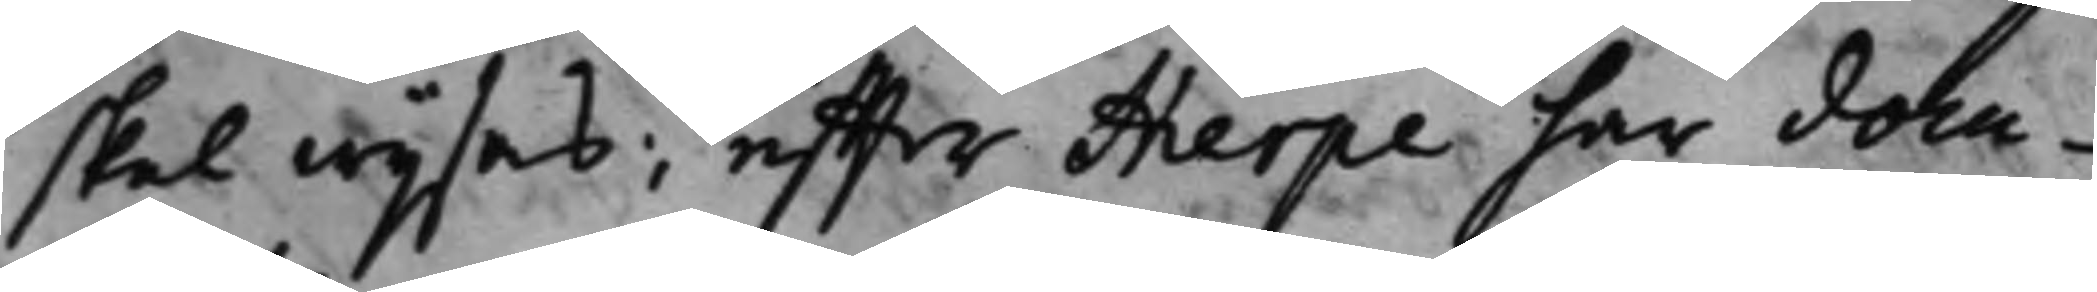skall wijsas, och effter Hierpe har docu¬
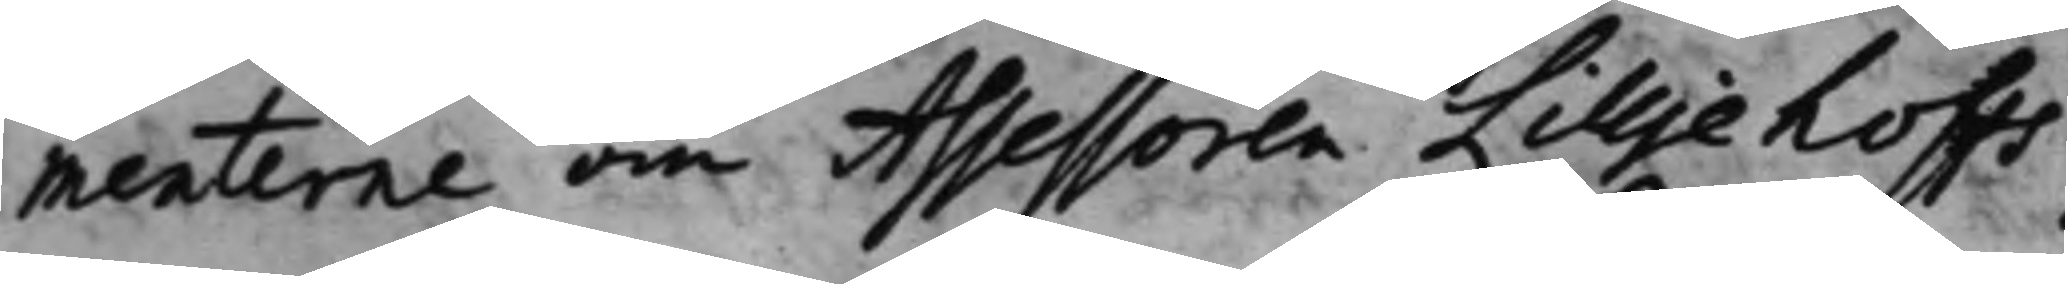menterne om Assessoren Lilljehoffs
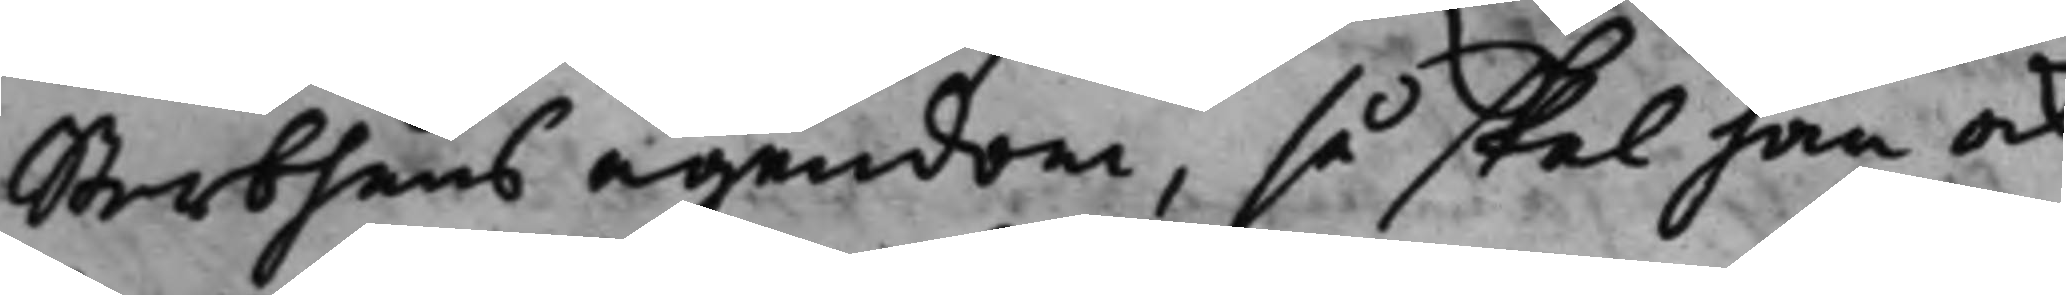Sterbhuus ägendom, så skal han ock
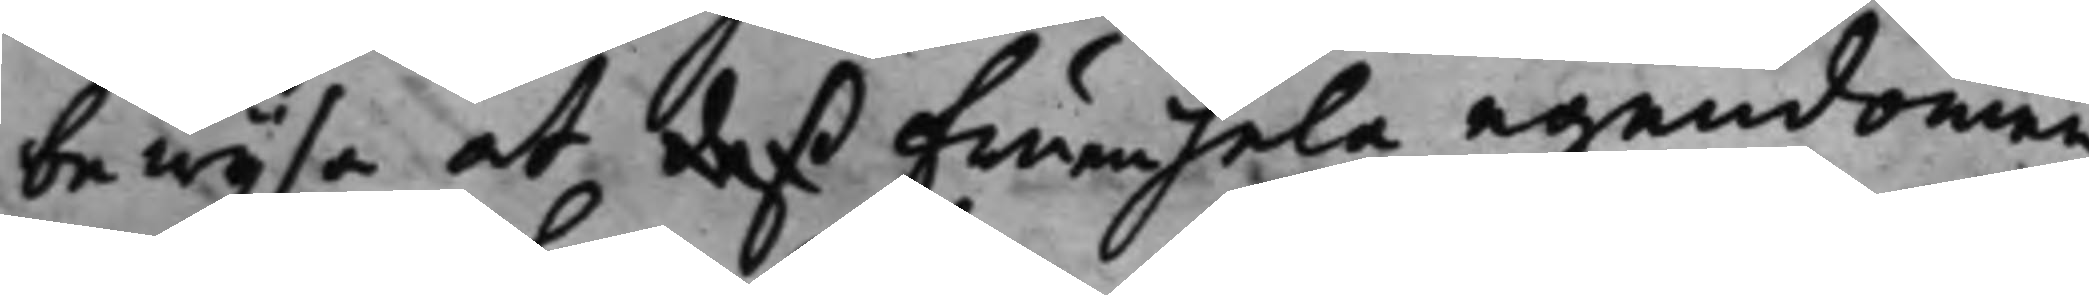bewijsa at deß Fruen hela egendomen,
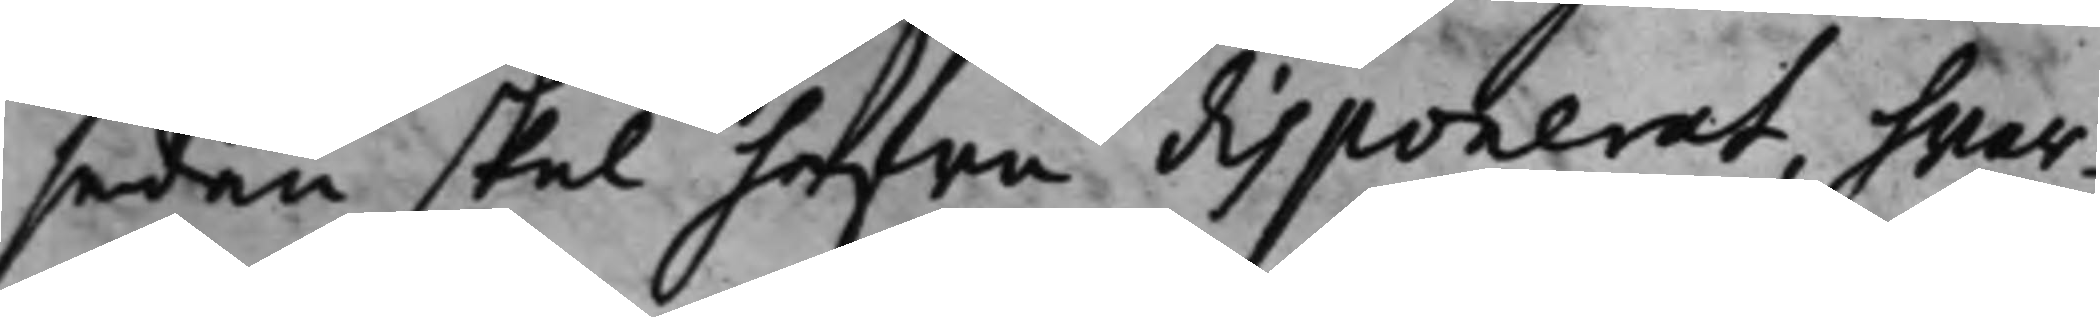sedan skal hafwa disponerat, hwar¬
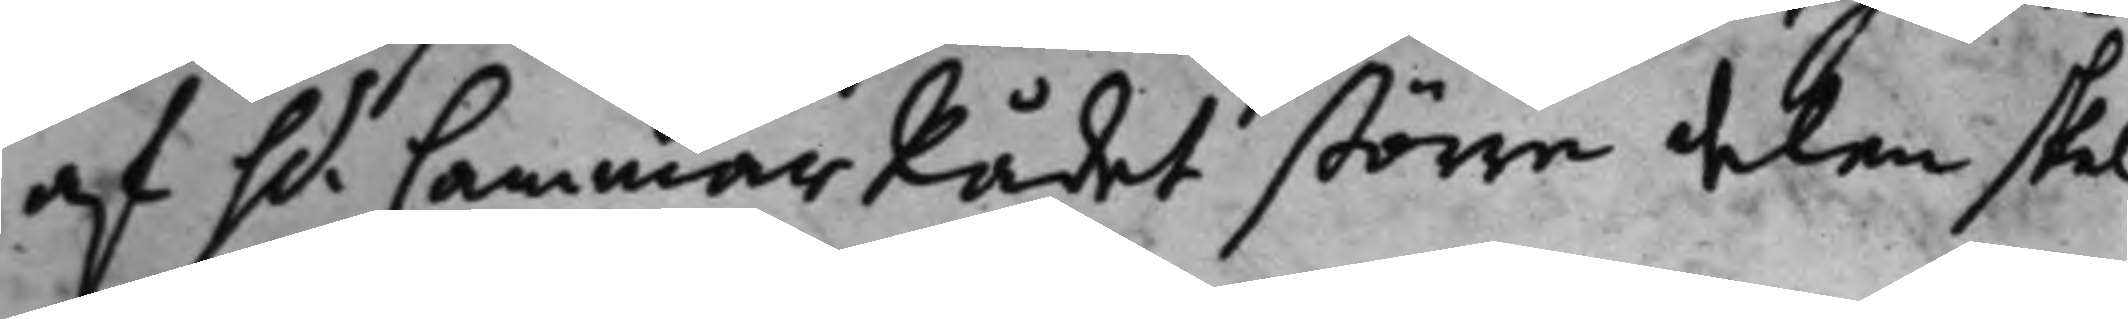af h.r CammarRådet större delen skal 
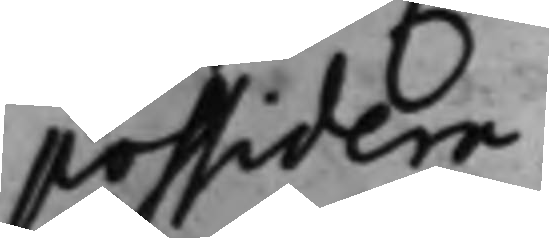possidera.
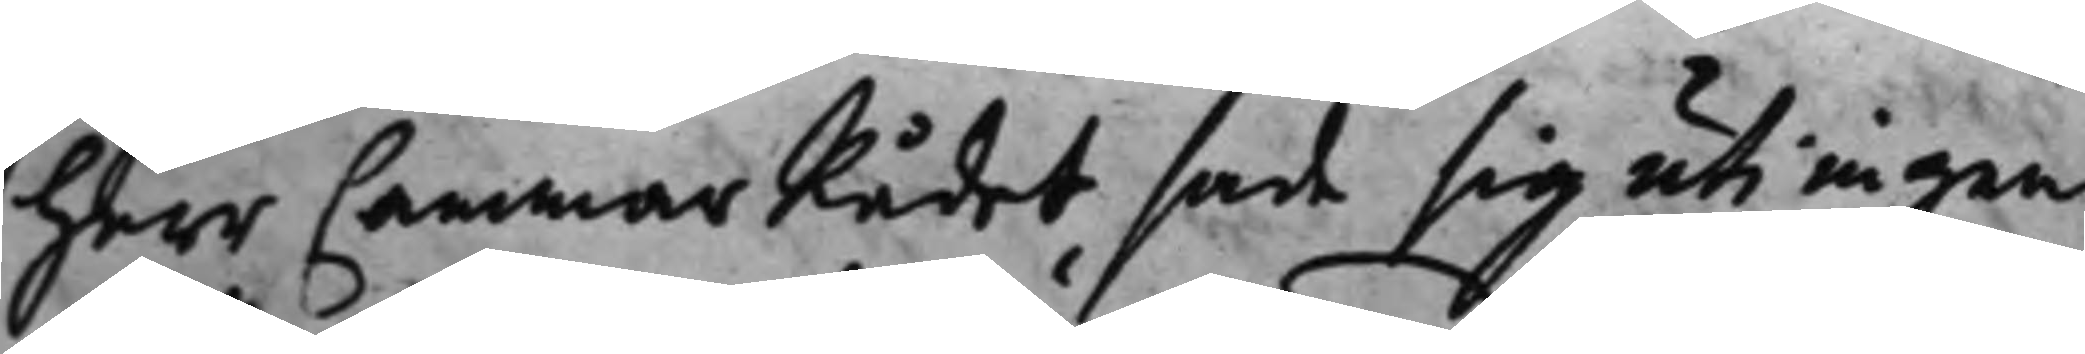Herr CammarRådet sade sig uti ingen
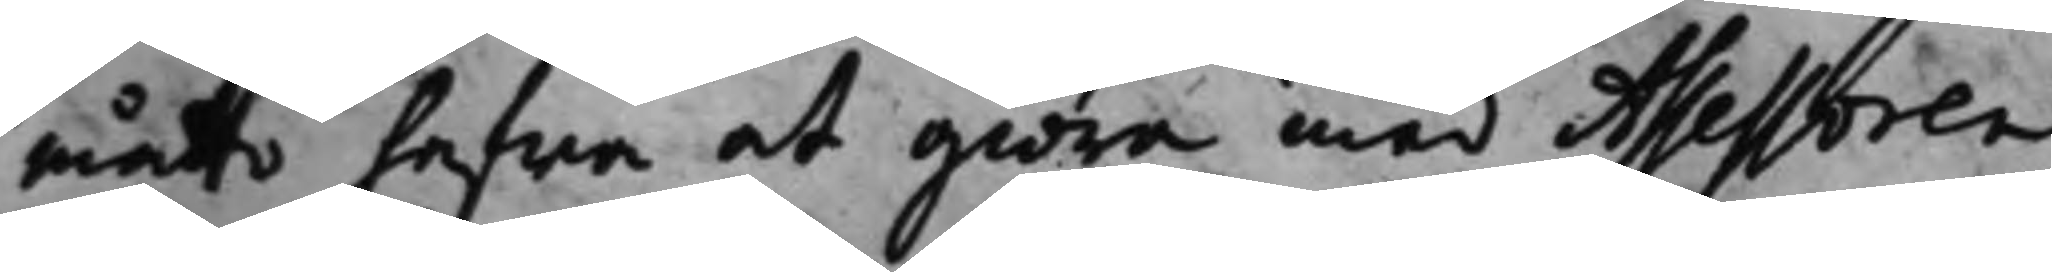måtto hafwa at giöra med Assessoren
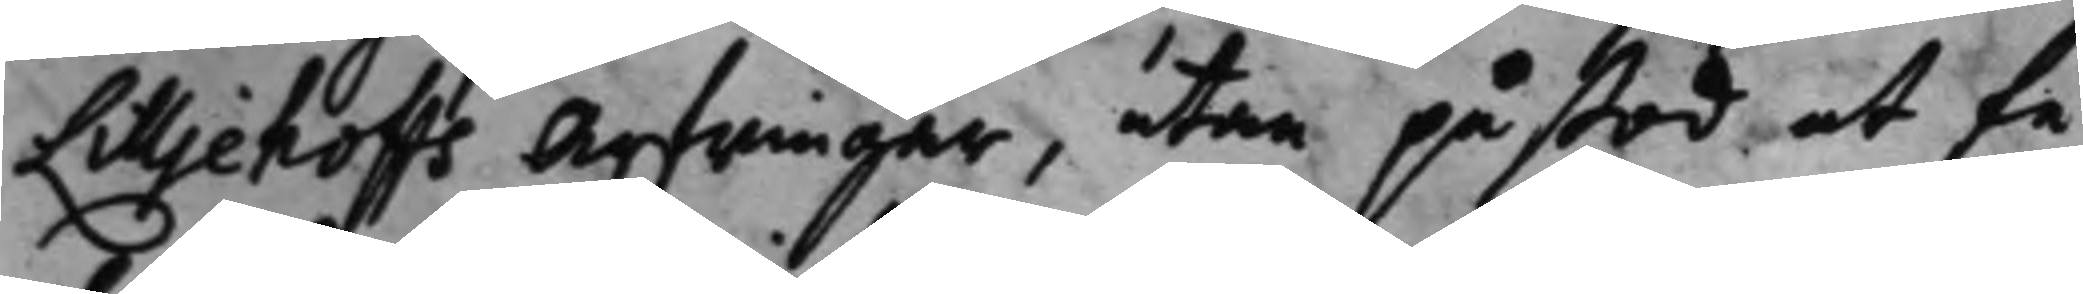Lilljehoffs Arfwingar, utan påstod at få
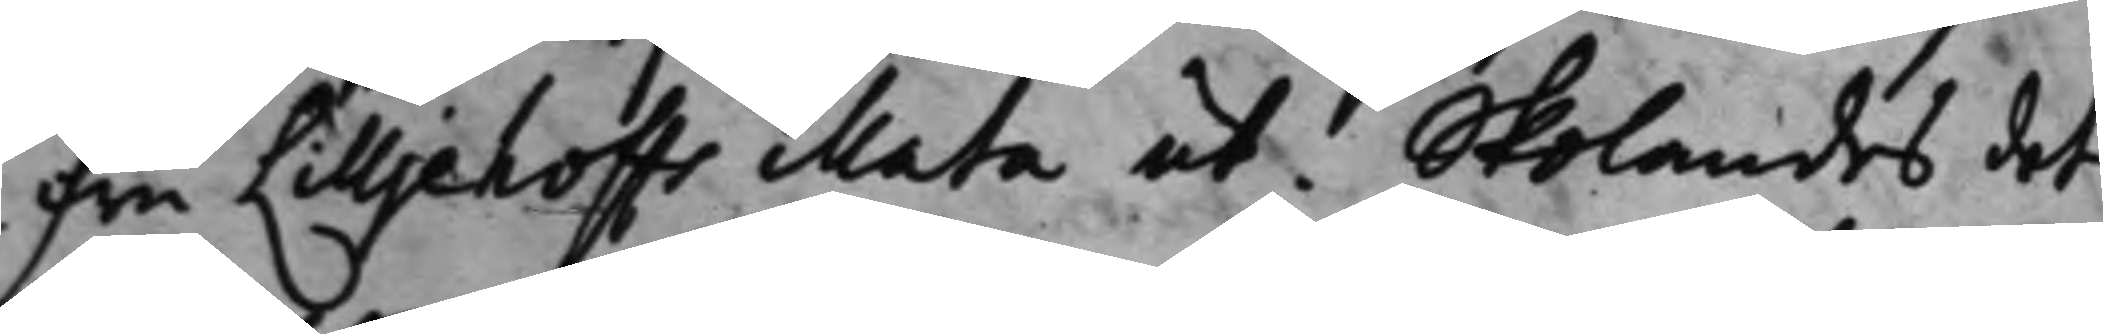fru Lilljehoffs illata ut. Skolandes det
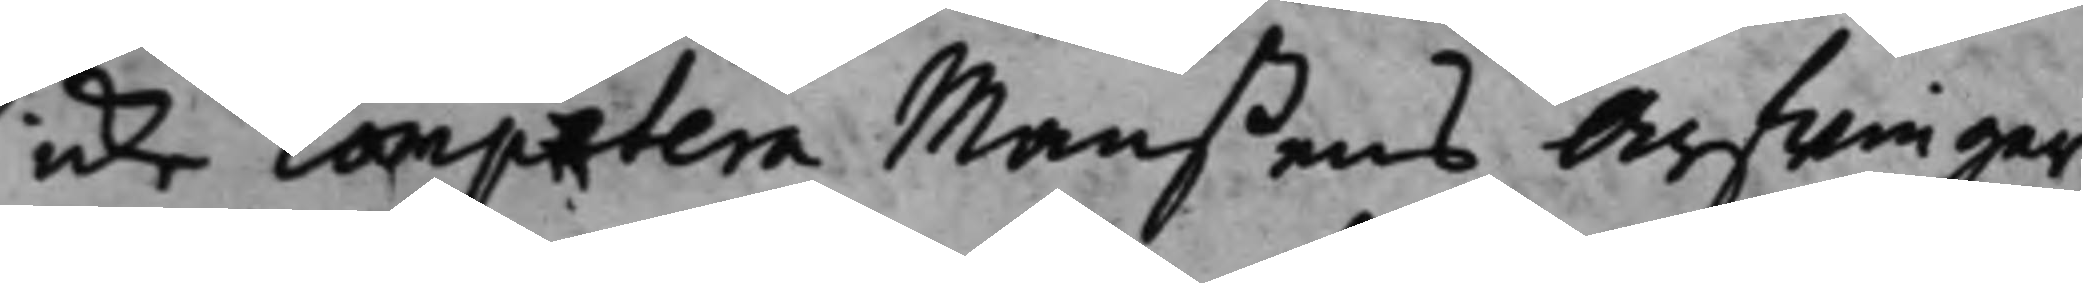icke comprtera Manßens Arfwingar
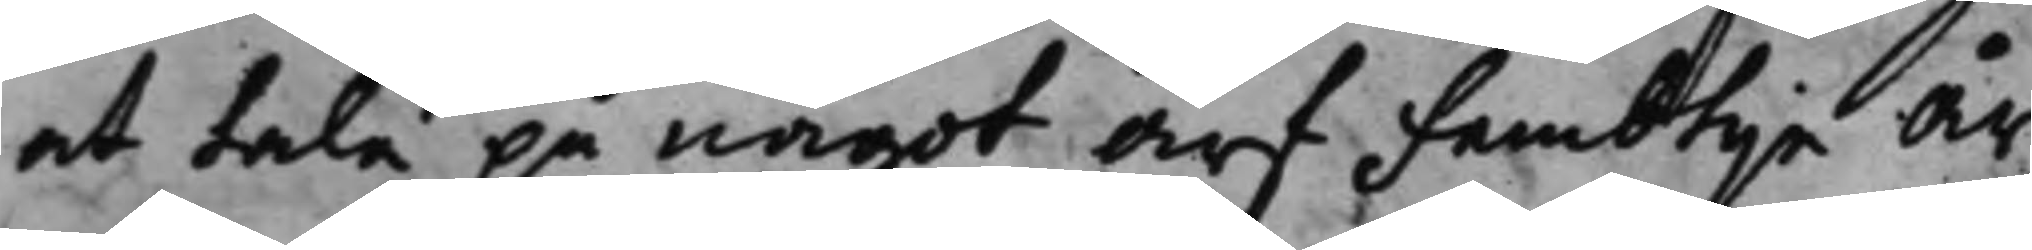at tala på något arf Fembtije år
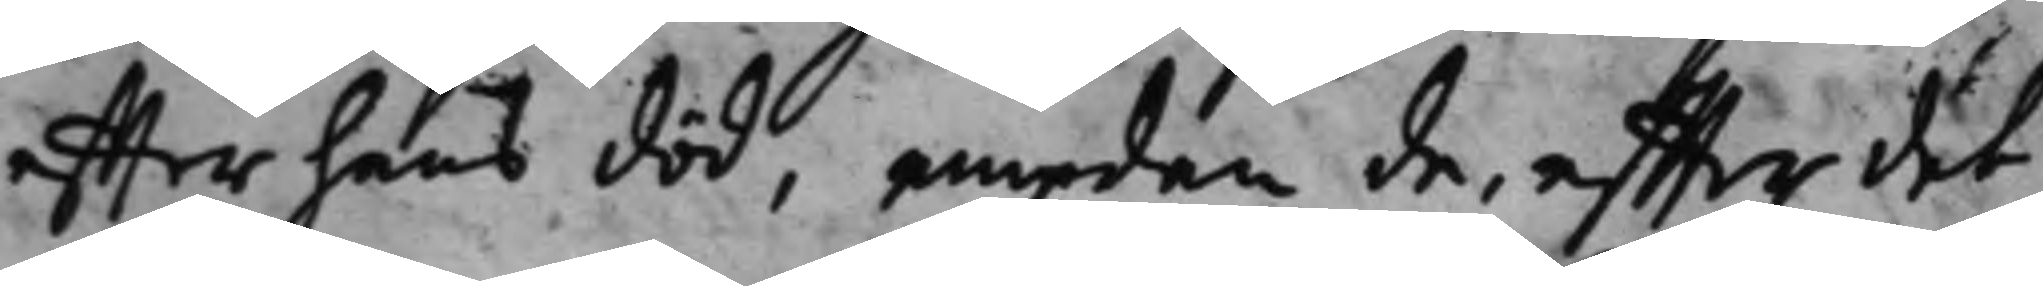effter hans död, emedan de, effter det
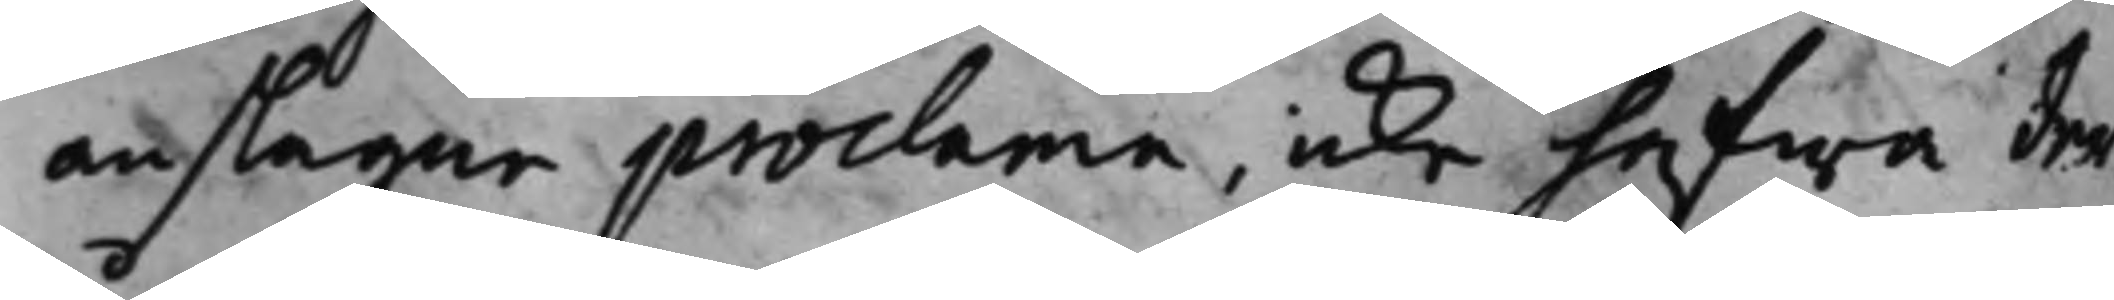anslagne proclama, icke hafwa der¬
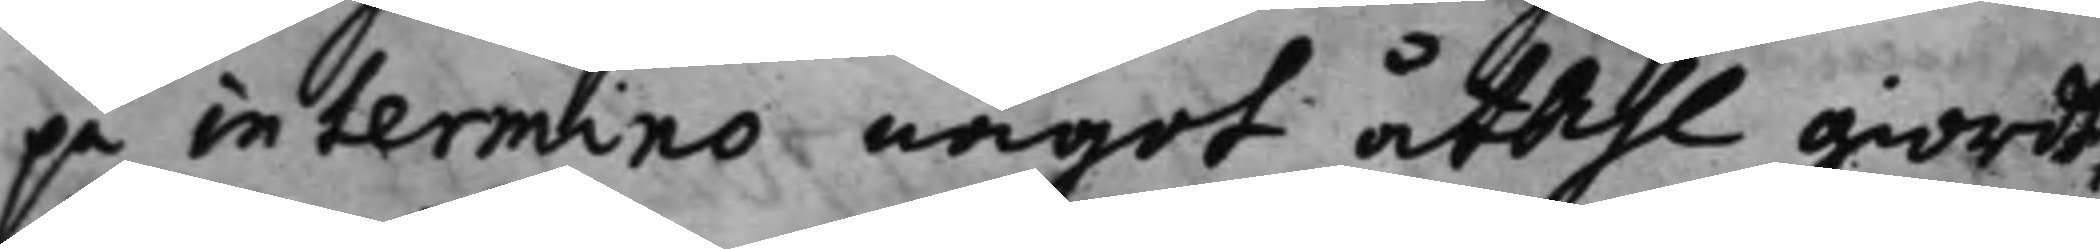på in termino något åtahl giordt,
